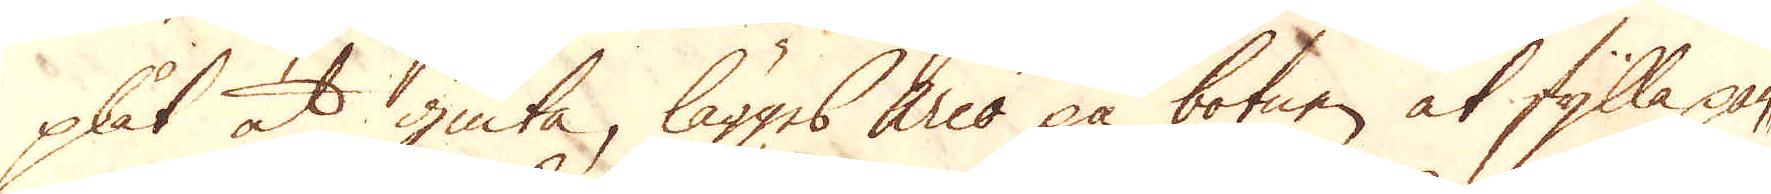plåt at giuta, lägges Arco på botnen at fylla pan-
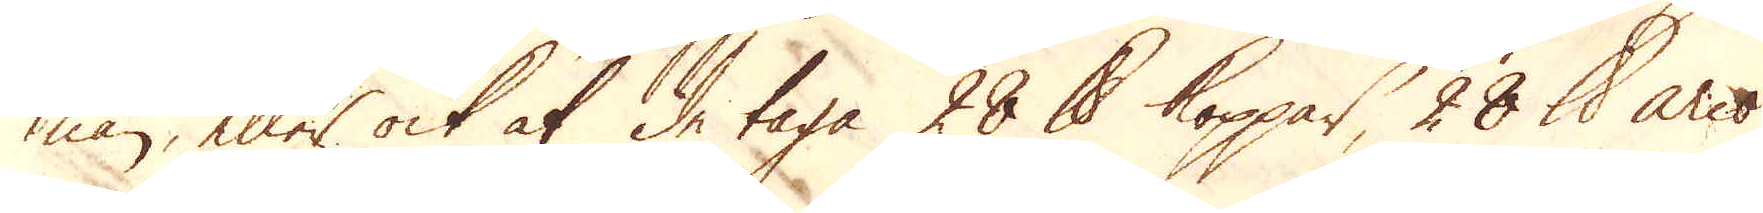nan, eller ock at de taga 28 skålpund koppar, 28 skålpund arco
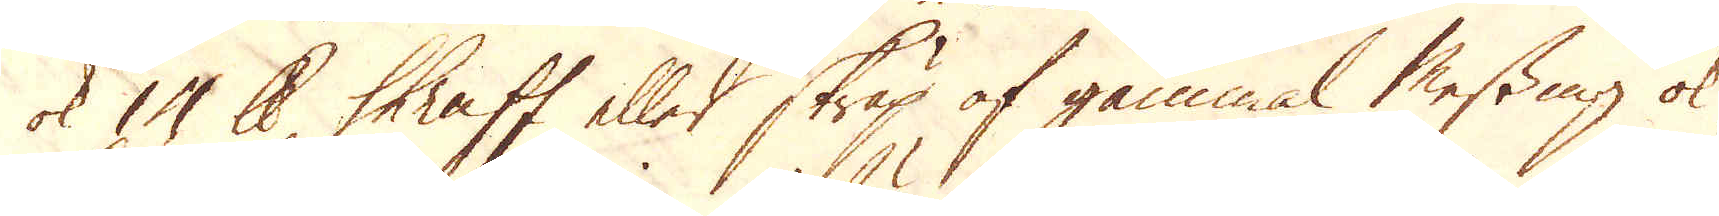ok 10 skålpund Shraff eller skräp af gammal Messing ok
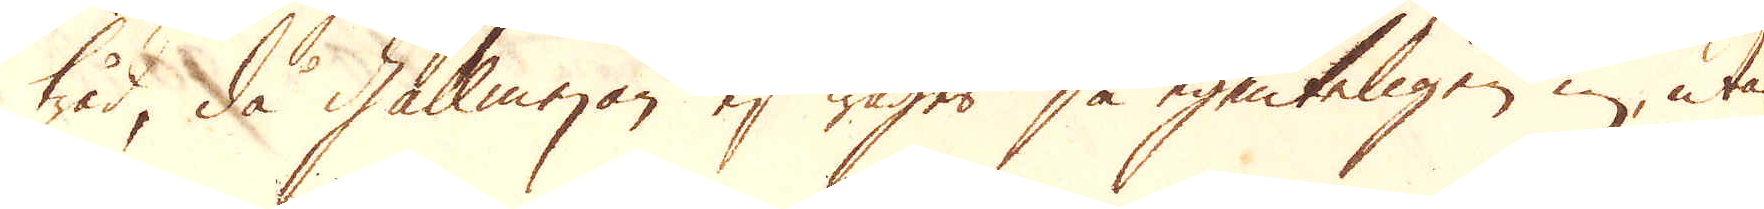tråd, då gallmejan ej wäges så egenteligen in, utan
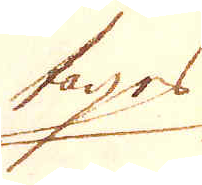tages
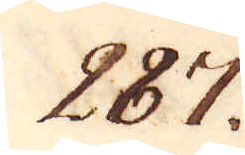287.
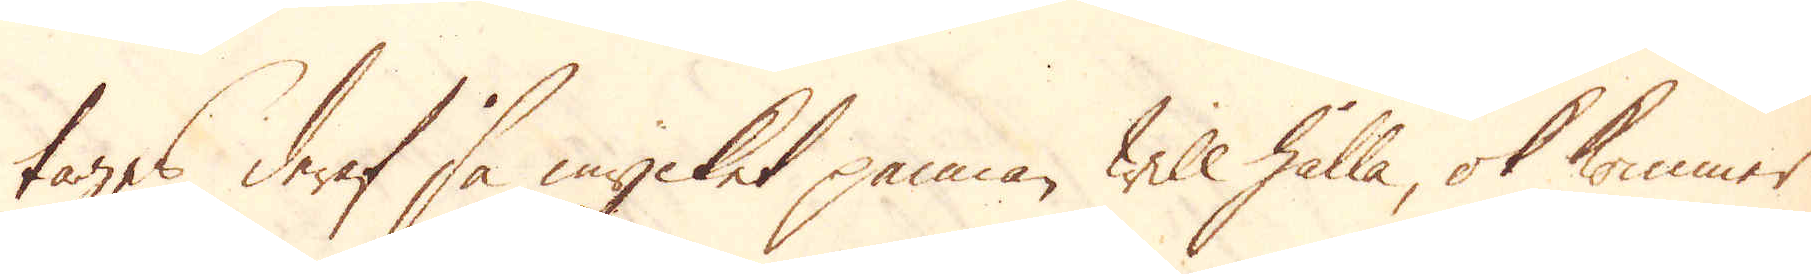tages deraf så mycket pannan will hålla, ok kommer
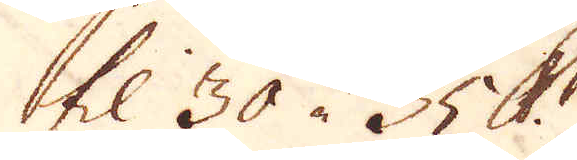til 30 à 35 skålpund.
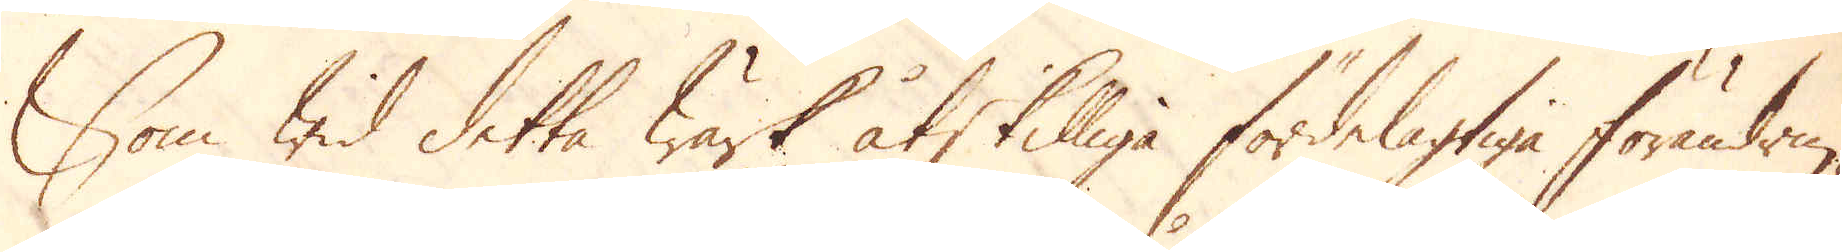Som wid detta Wärk åtskilliga fördelagtiga förändrin-
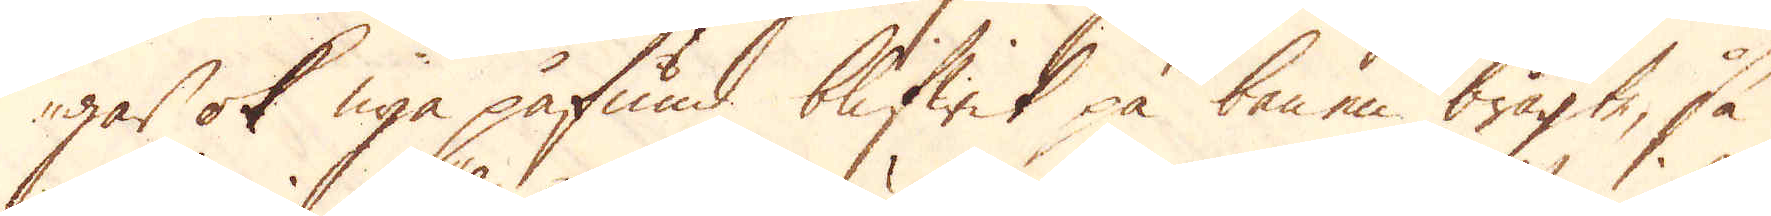gar ok nya påfund blifwit på benen bragte, så
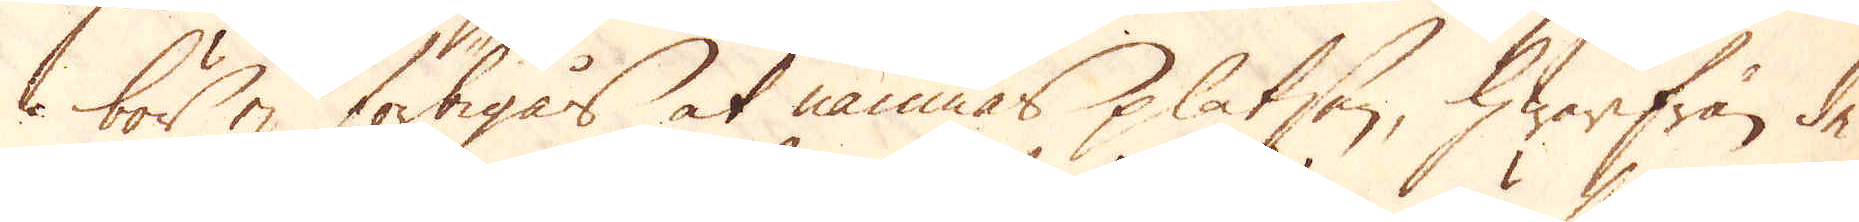bör ej förbigås at nämnas platsen, hwarifrån de
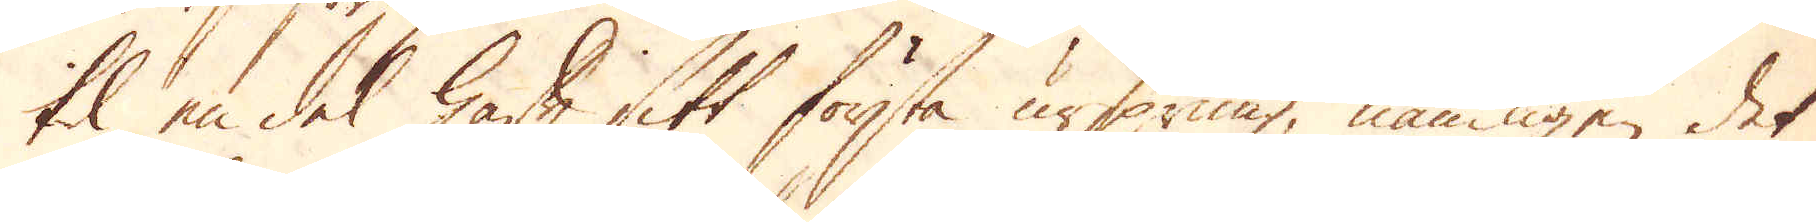til en del haft sitt första ursprung, nämligen det
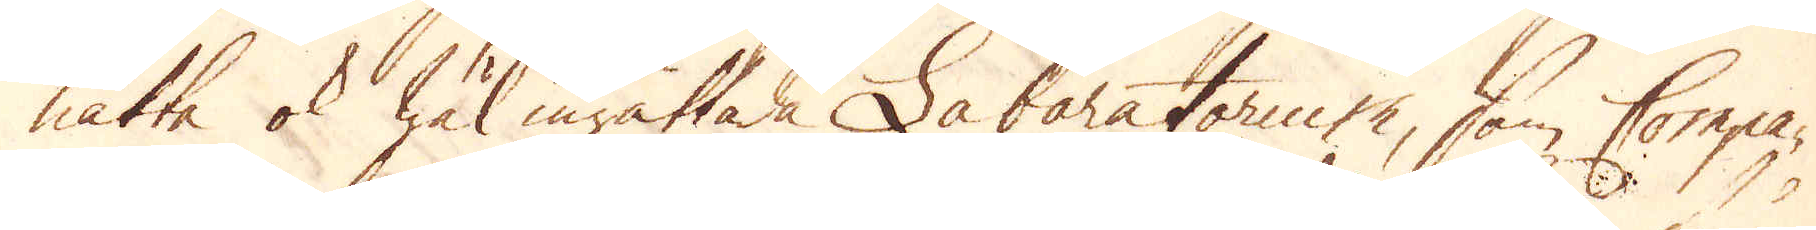nätta ok wäl inrättade Labaratorium, som Compa-
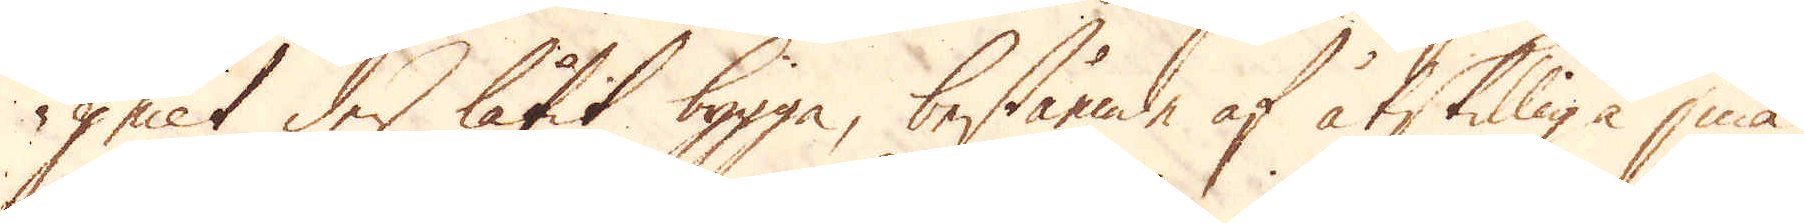gniet der låtit bygga, bestående af åtskilliga små
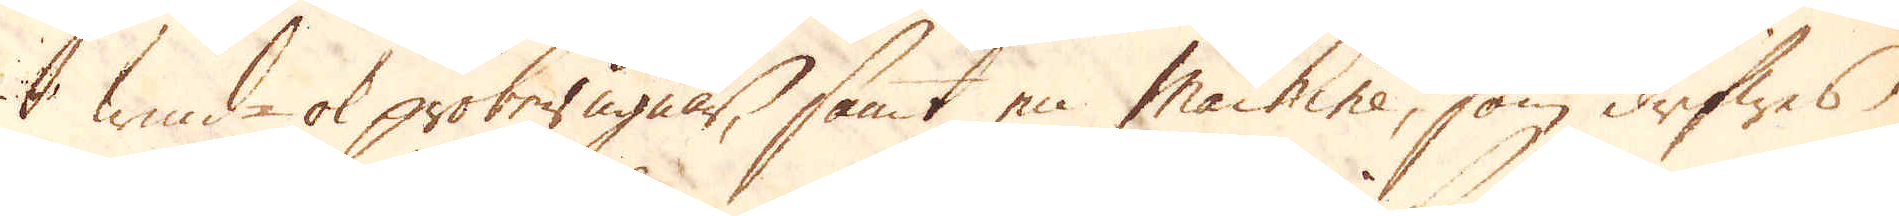wind- ok proberugnar, samt en machine, som drifwes
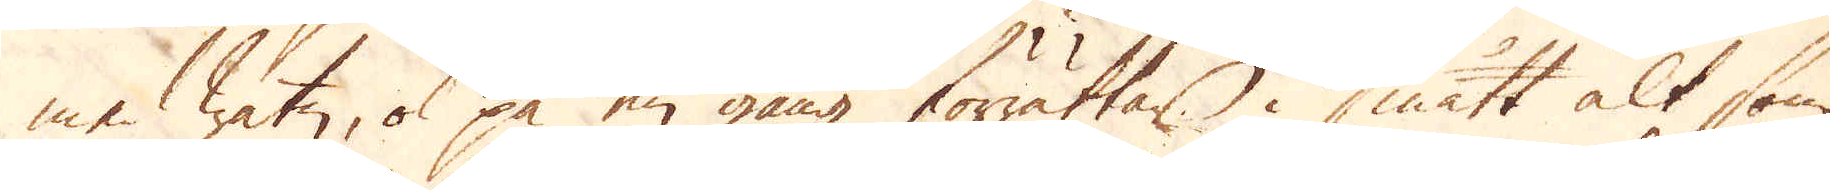med watn, ok på en gång förrättar i smått alt som
